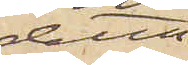detta
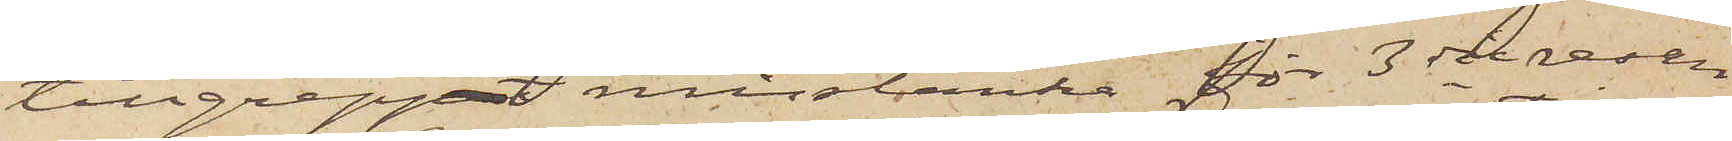tillgreppet misstänka för 3dje resan
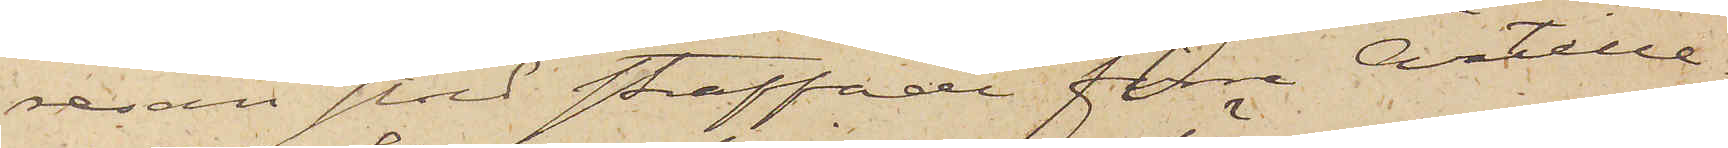resan stöld straffade förre Artille¬
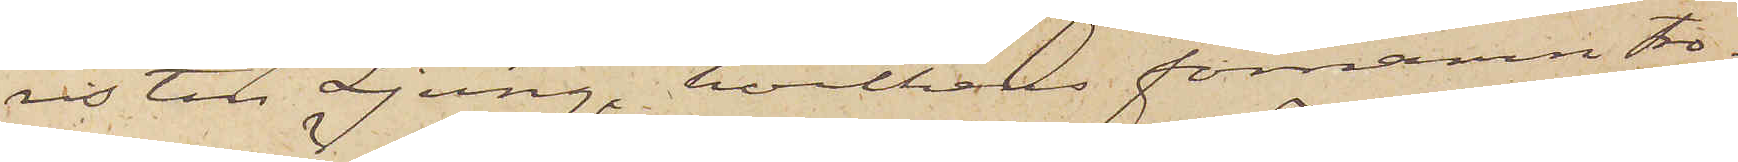risten Ljung, hvilkens förnamn tro¬
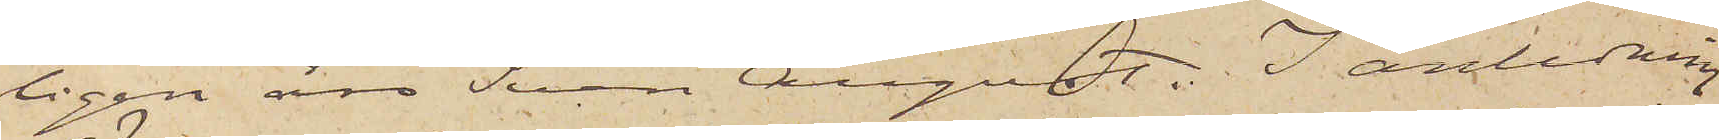ligen äro Sven August. I anledning
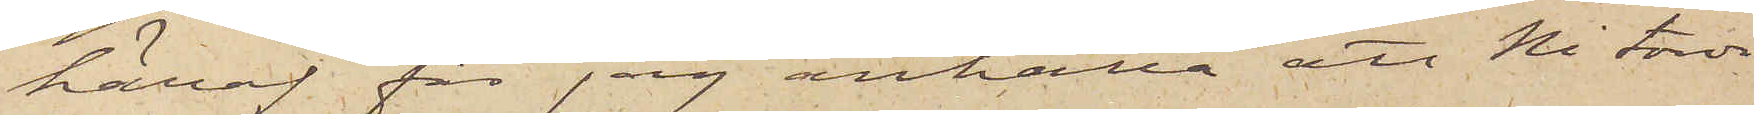häraf får jag anhålla att Ni torde
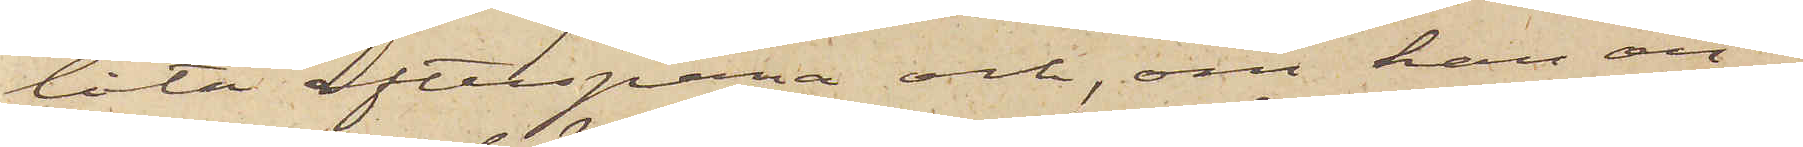låta efterspana och, om han an¬
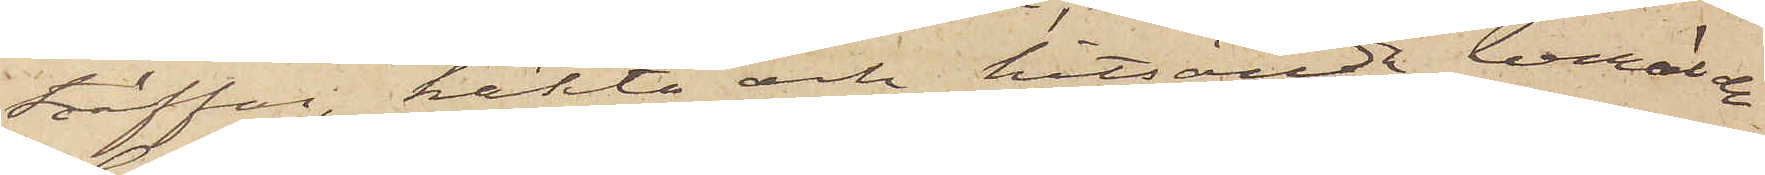träffas, häkta och hitsända berörde
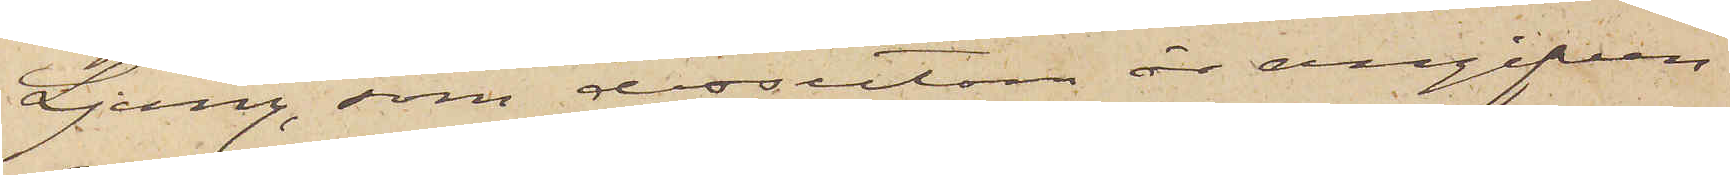Ljung, som dessutom är angifven
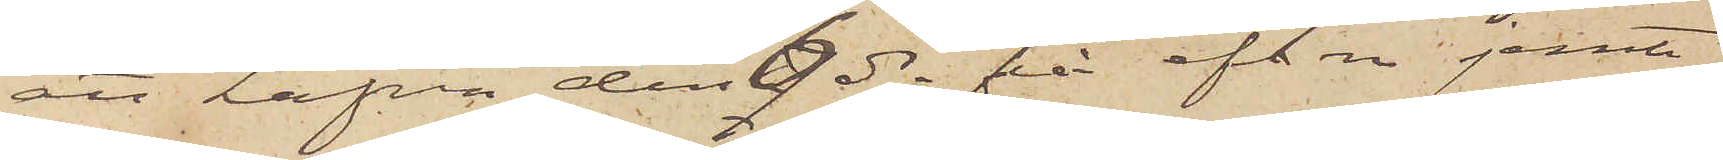att hafva den 6 ds på eft. m. jemte
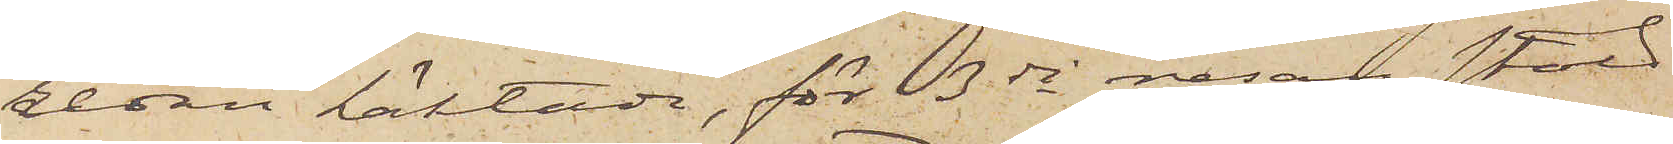redan häktade, för 3dje resan stöld
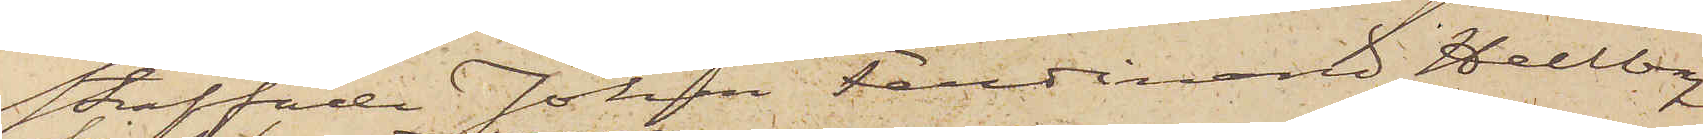straffade Johan Ferdinand Hellberg
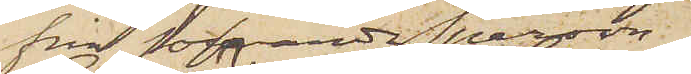från sofvande person
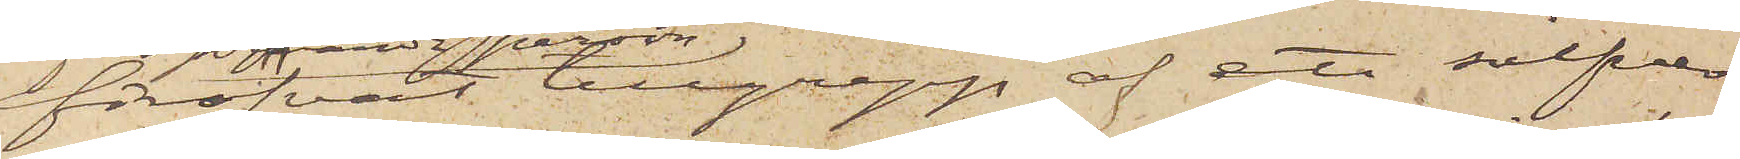föröfvat tillgrepp af ett silfver¬
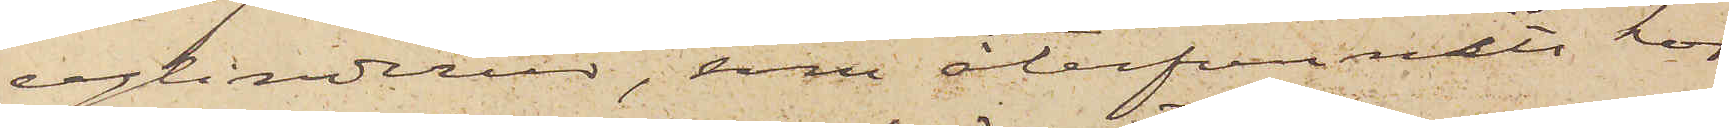cylinderur, som återfunnits hos
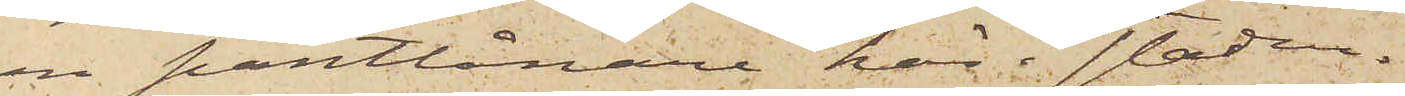en Pantlånare här i staden.
